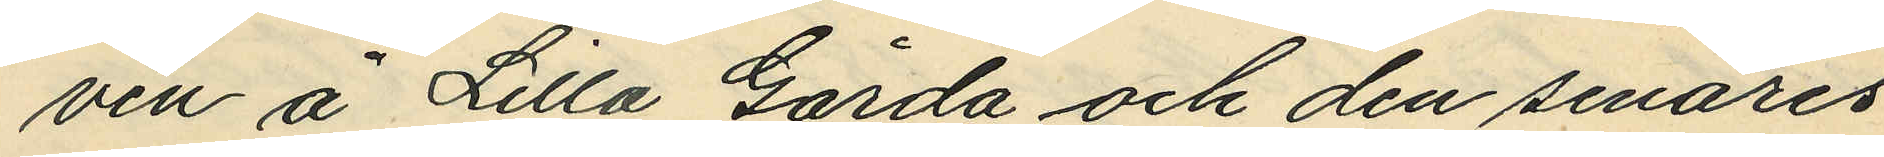ven å Lilla Gårda och den senares
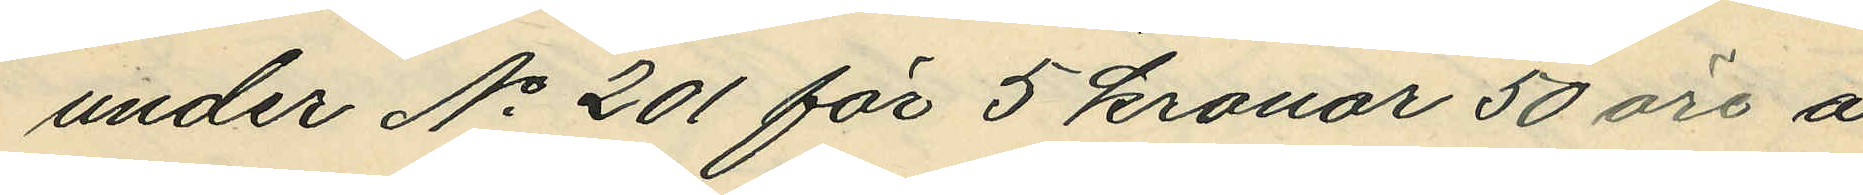under No 201 för 5 kronar 50 öre å
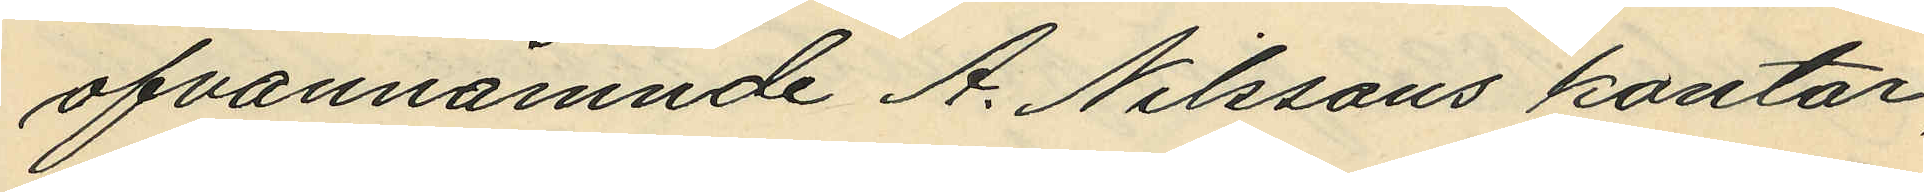ofvannämnde A. Nilssons kontor
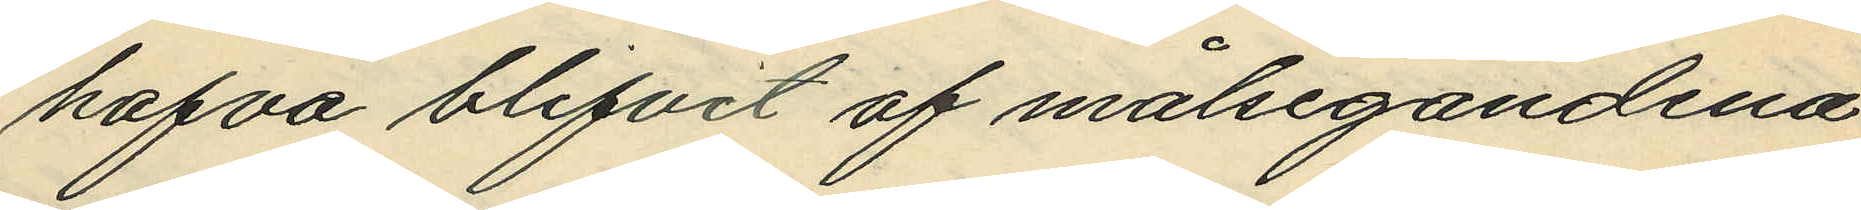hafva blifvit af målsegandena
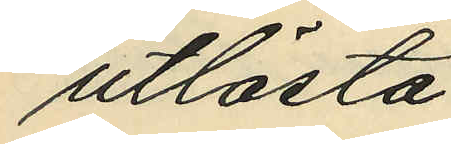utlösta.
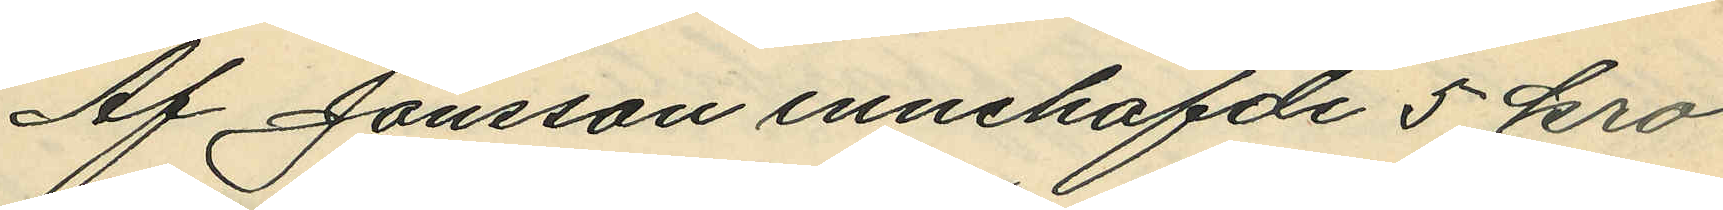Af Jonsson innehafde 5 kro¬
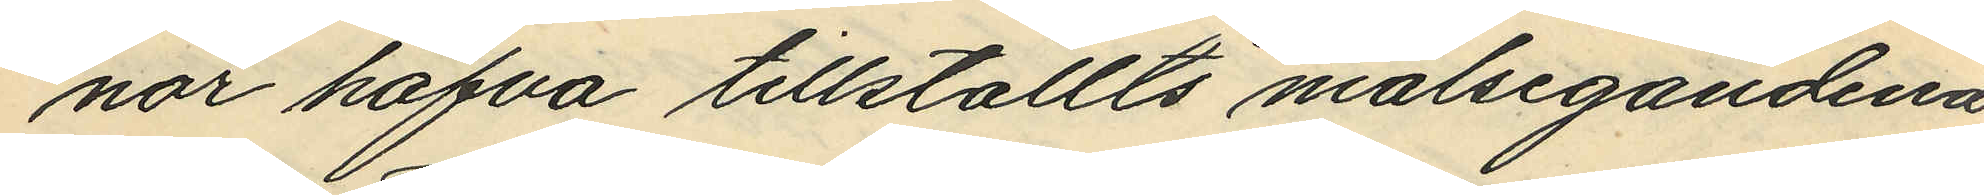nor hafva tillställts målsegandena
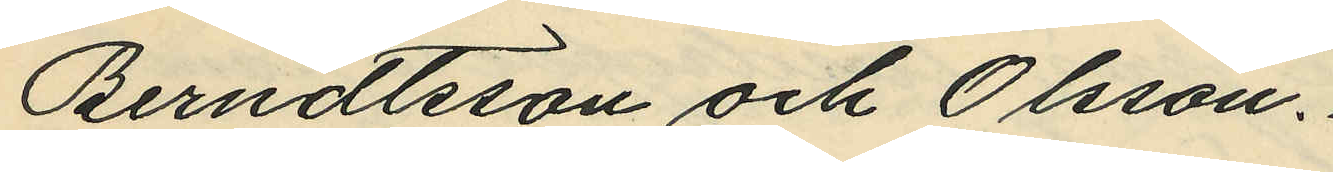Berndtsson och Olsson.
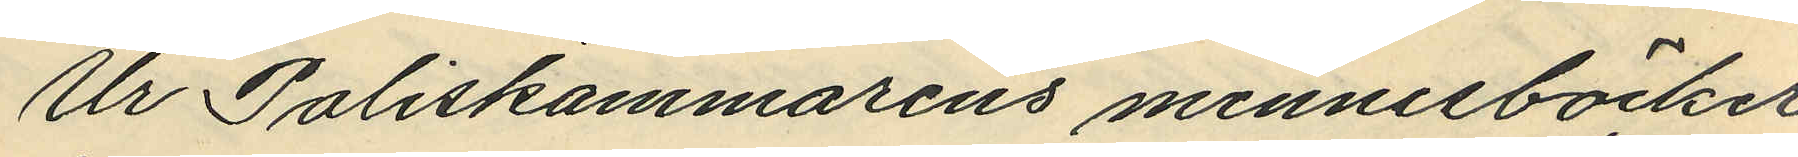Ur Poliskammarens minnesböcker
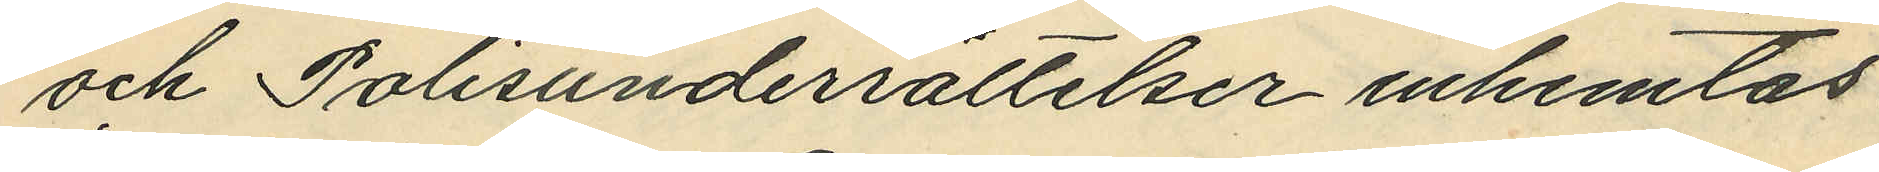och Polisunderrättelser inhemtas:
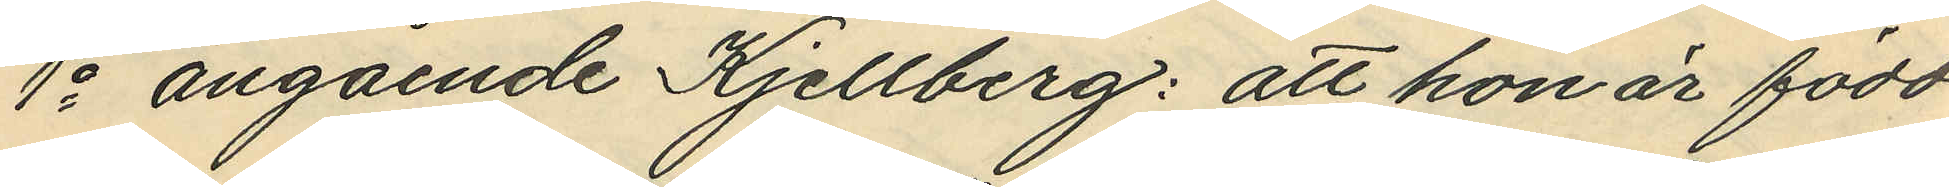1o angående Kjellberg: att hon är född
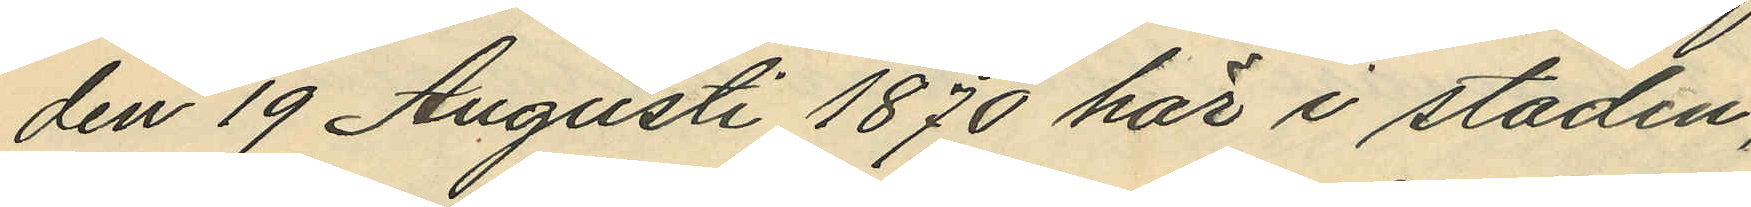den 19 Augusti 1870 här i staden;
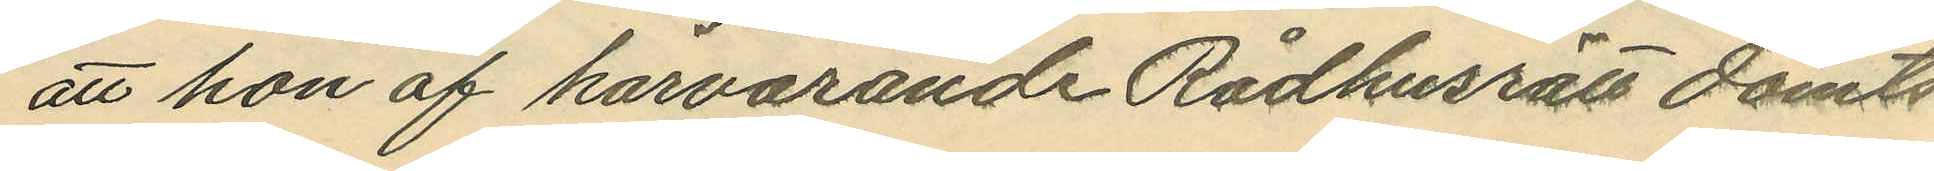att hon af härvarande Rådhusrätt dömts
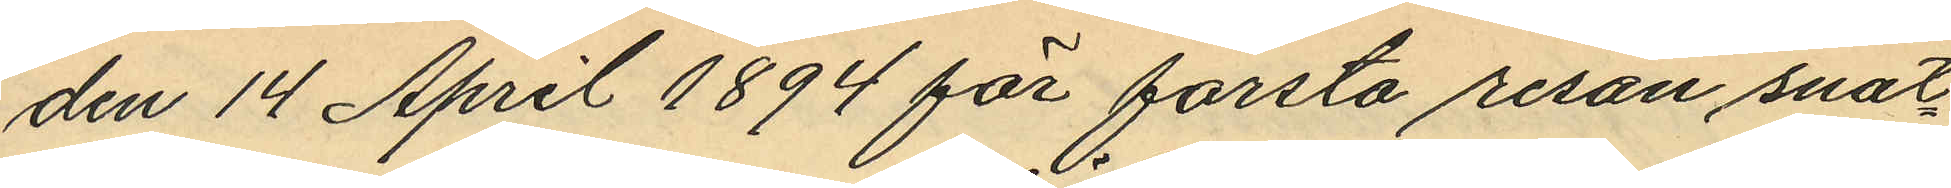den 14 April 1894 för första resan snat¬
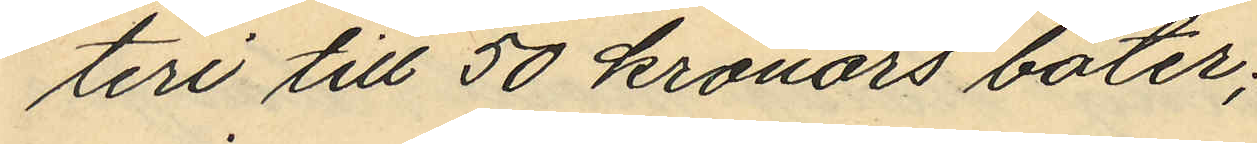teri till 50 kronors böter;
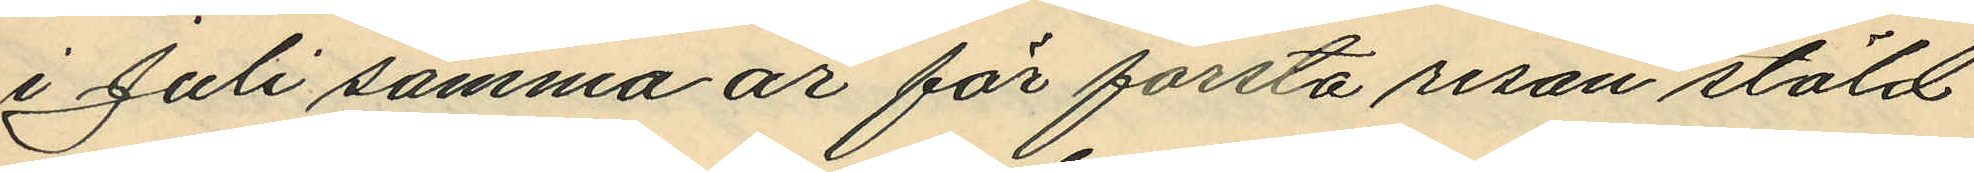i Juli samma år för första resan stöld
